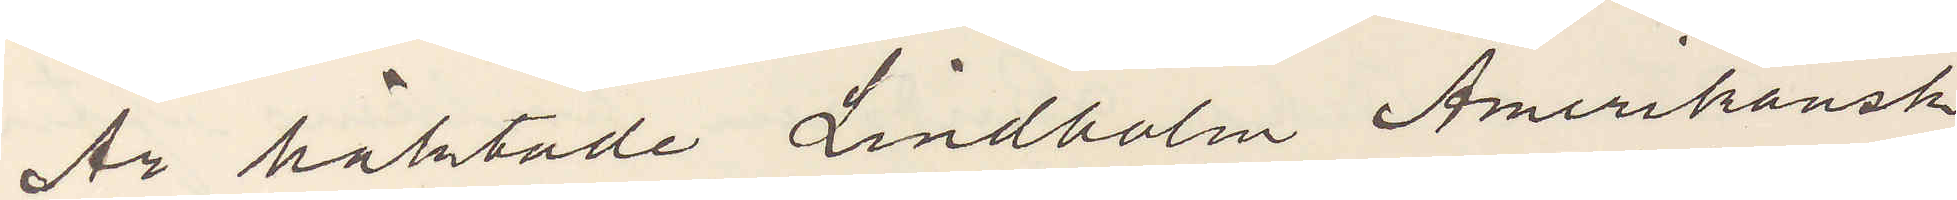Är häktade Lindholm Amerikansk
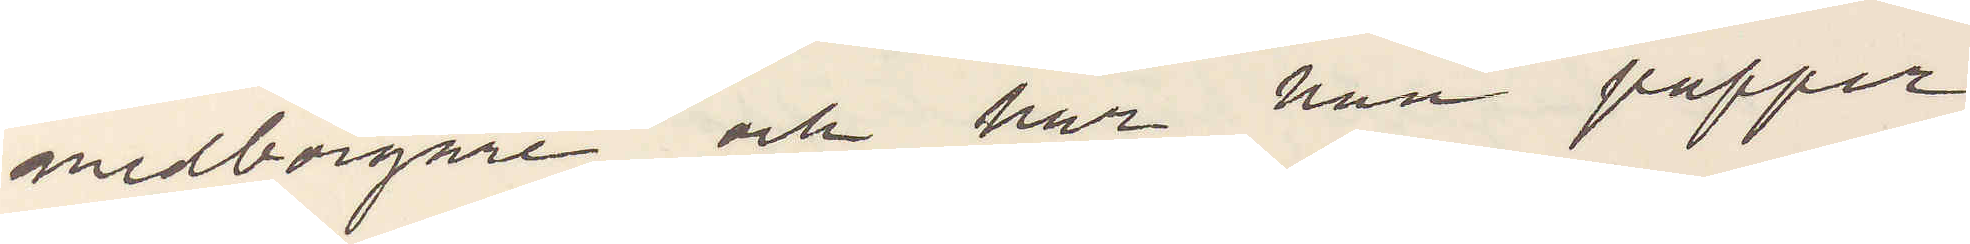medborgare och har han papper
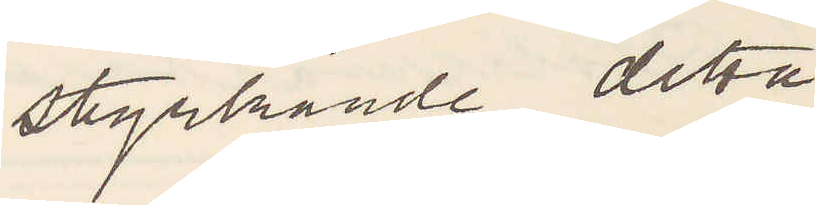styrkande detta
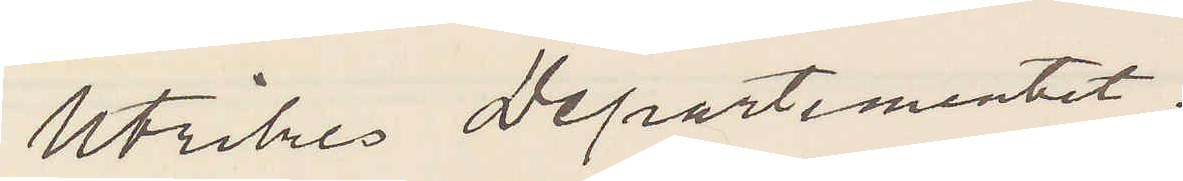Utrikes Departementet.
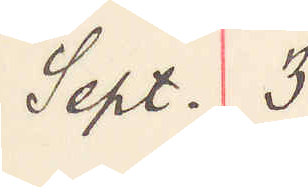Sept. 3
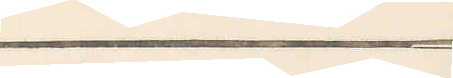Stockholm.
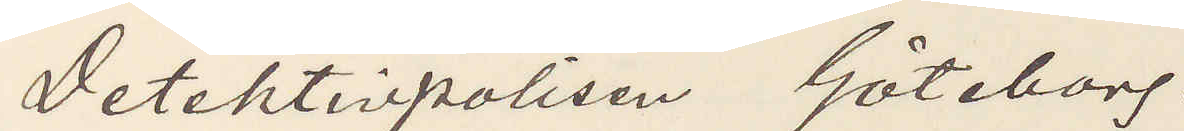Detektivpolisen Göteborg.
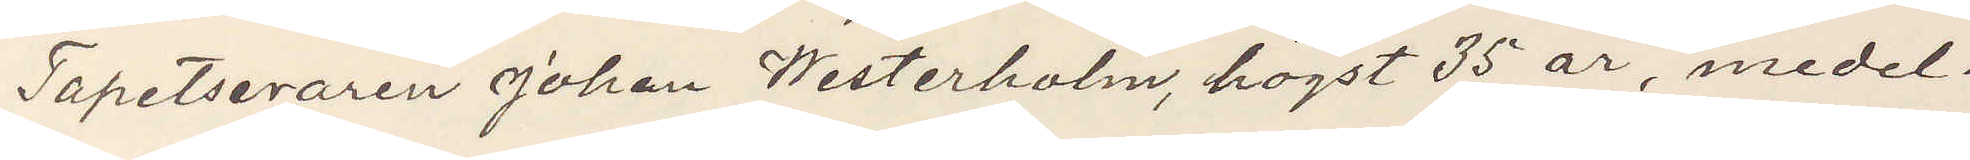Tapetseraren Johan Westerholm, högst 35 år, medel¬
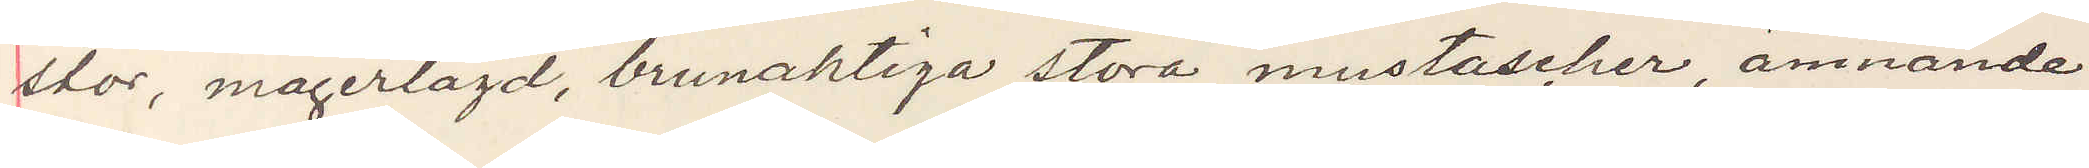stor, magerlagd, brunaktiga stora mustascher, ämnande
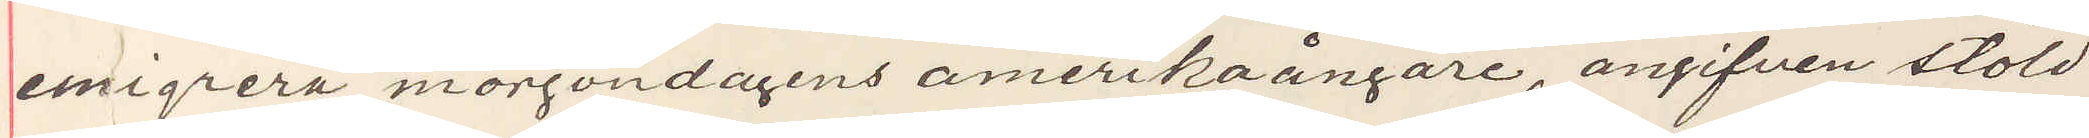emigrera morgondagens amerikaångare, angifven stöld
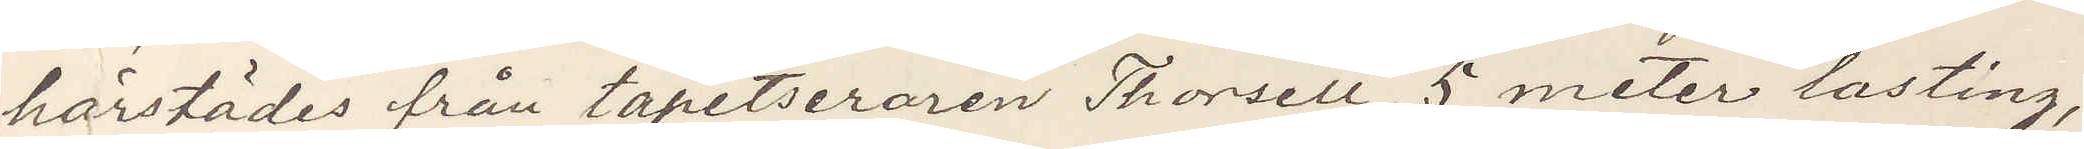härstädes från tapetseraren Thorsell, 5 meter lasting,
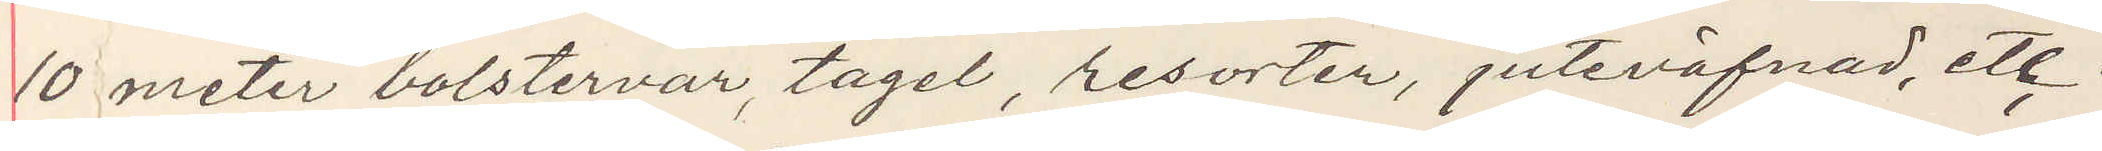10 meter bolstervar, tagel, resorter, juteväfnad, etc.
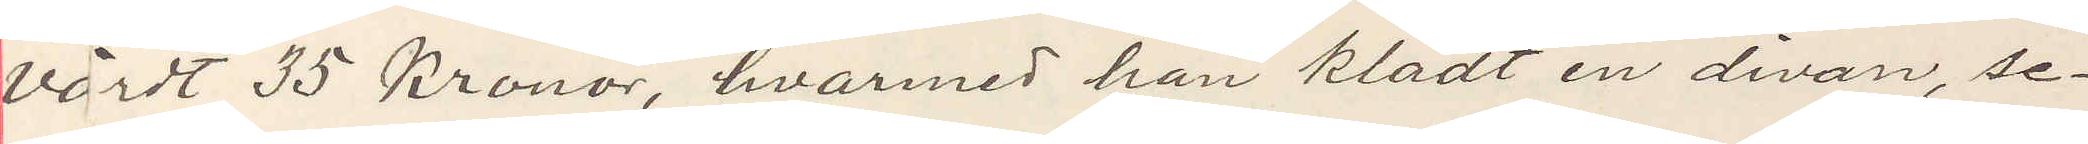värdt 35 Kronor, hvarmed han klädt en divan, se¬
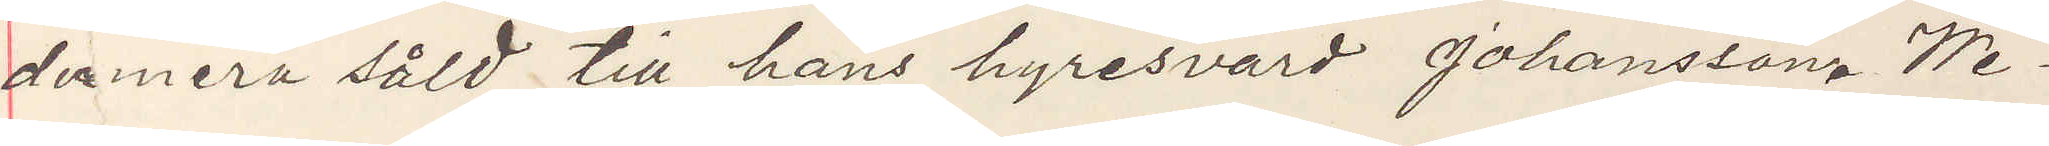dermera såld till hans hyresvärd Johansson. We¬
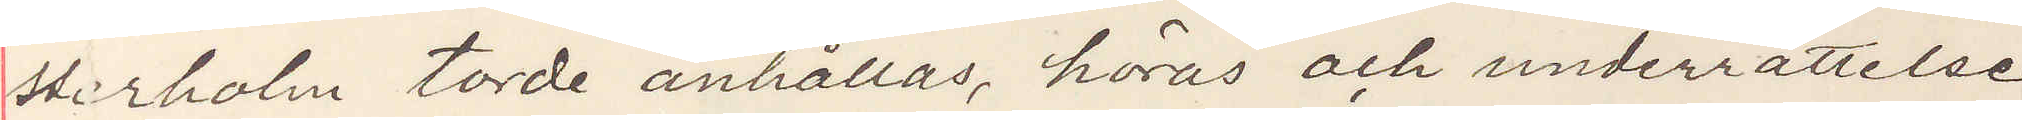sterholm torde anhållas, höras och underrättelse
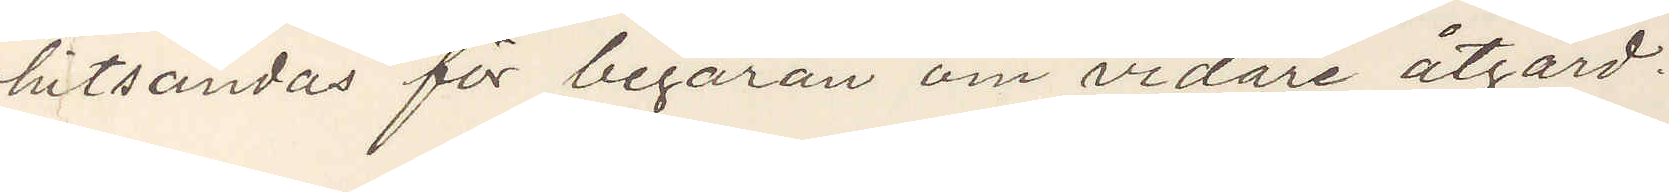hitsändas för begäran om vidare åtgärd.
